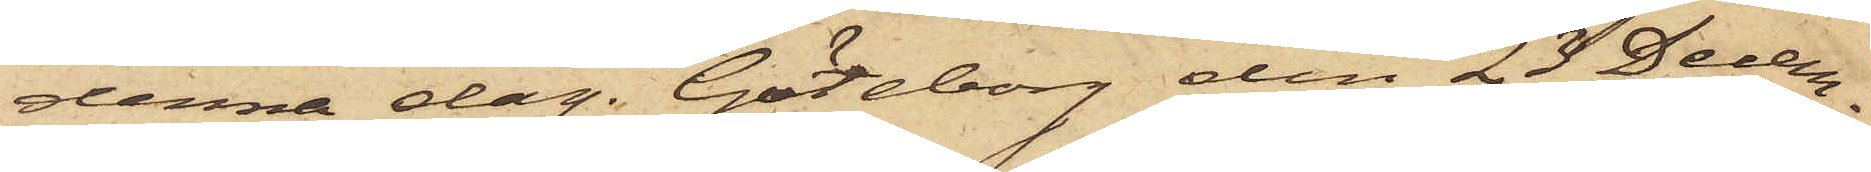denna dag. Göteborg den 23 Decem¬
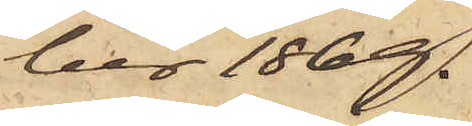ber 1869.
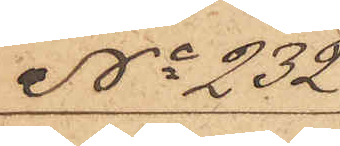No 232
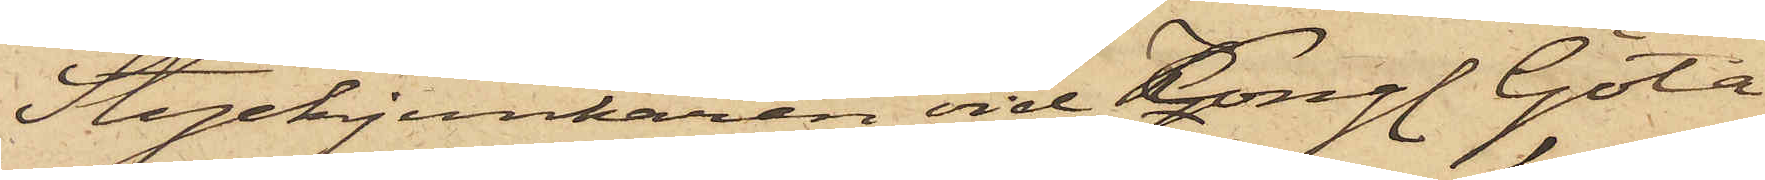Styckjunkaren vid Kongl. Göta
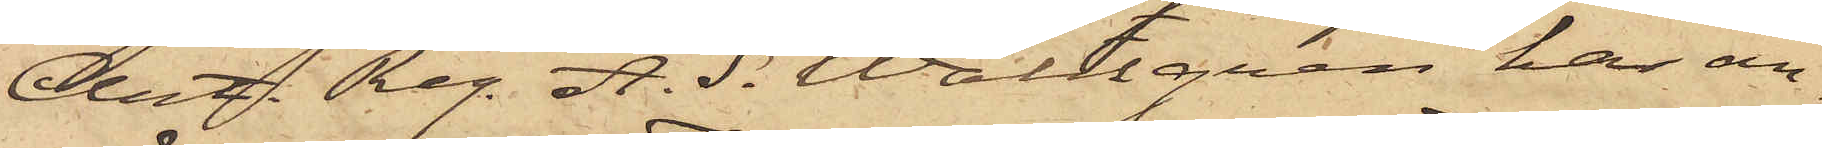Art. Reg. A. S. Wallgren har an¬
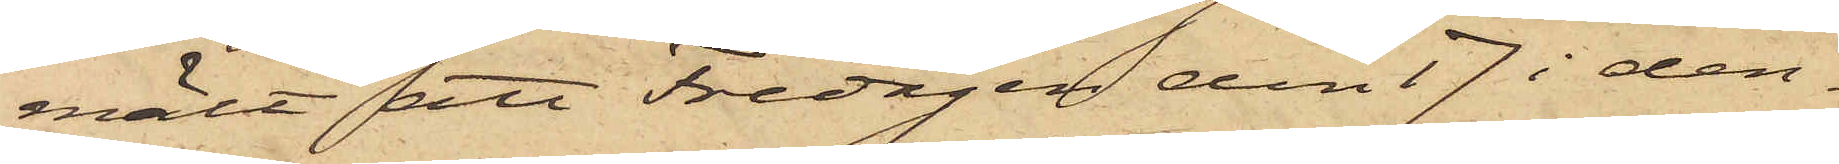mält att Fredagen den 17 i den¬
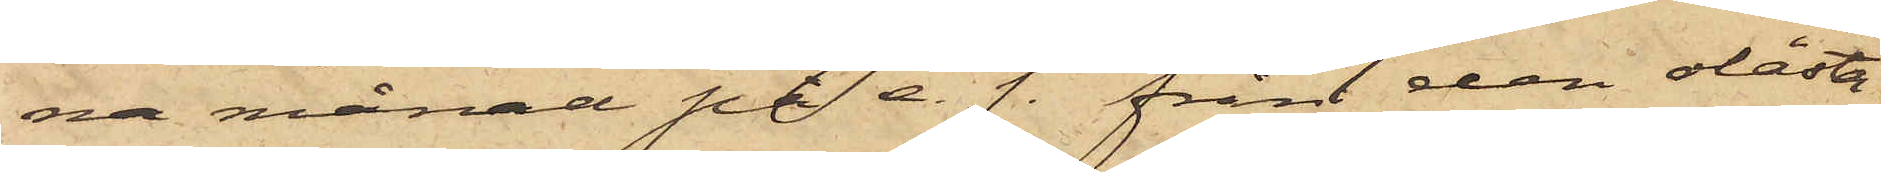na månad på e. f. från den olåsta
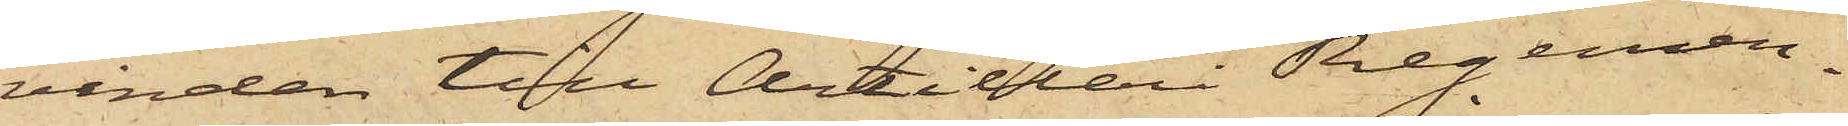vinden till Artilleri Regemen¬
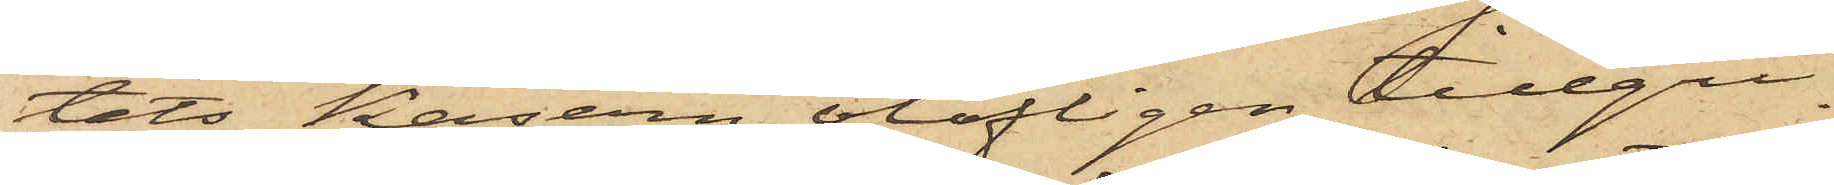tets kasern olofligen tillgri¬
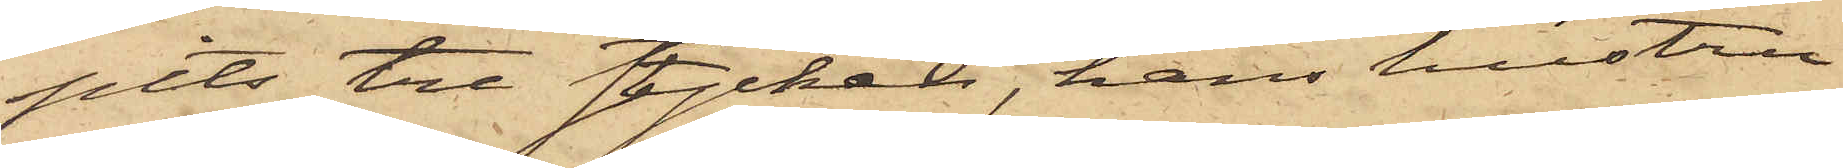pits tre stycken, hans hustru
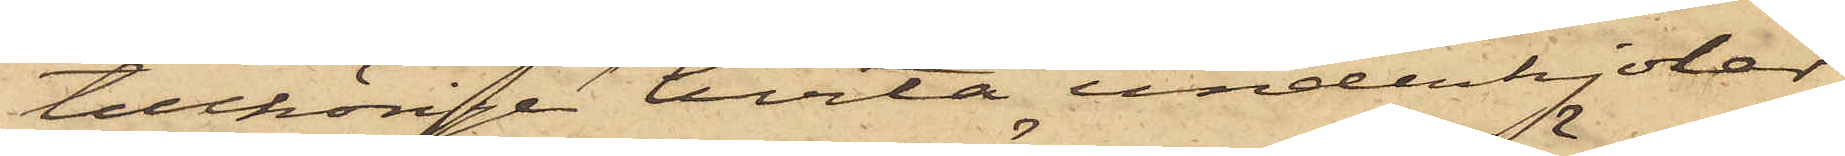tillhörige hvita underkjolar,
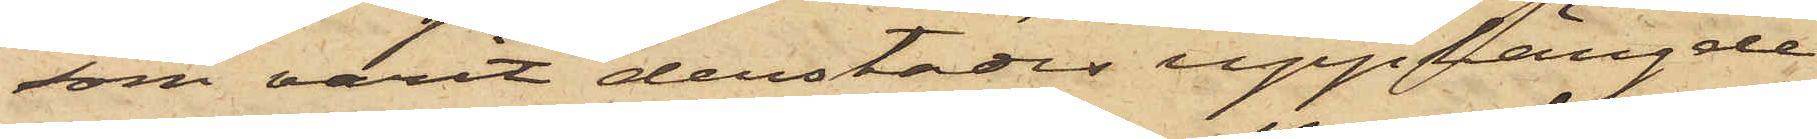som varit derstädes upphängde
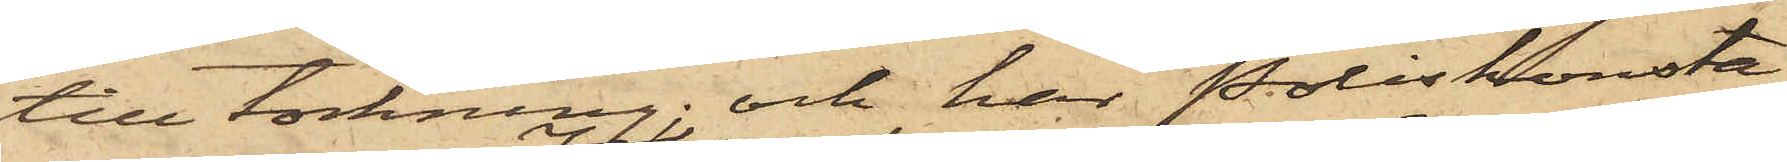till torkning; och har Poliskonsta¬
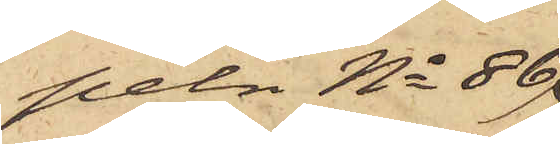peln No 86
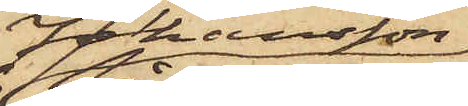Johansson
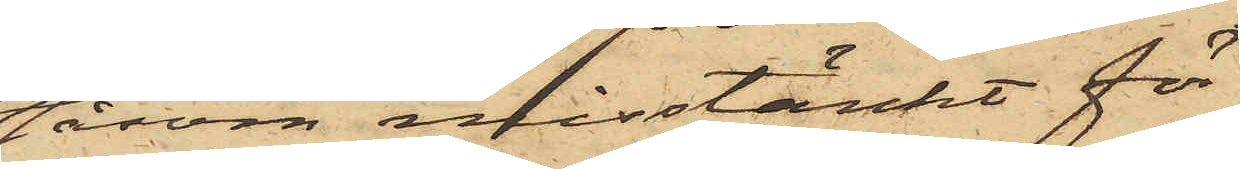såsom misstänkt för
